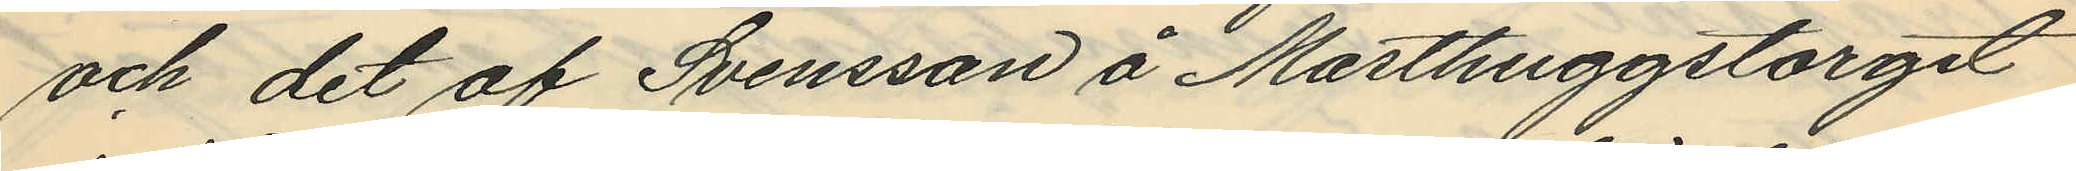och det af Svensson å Masthuggstorget
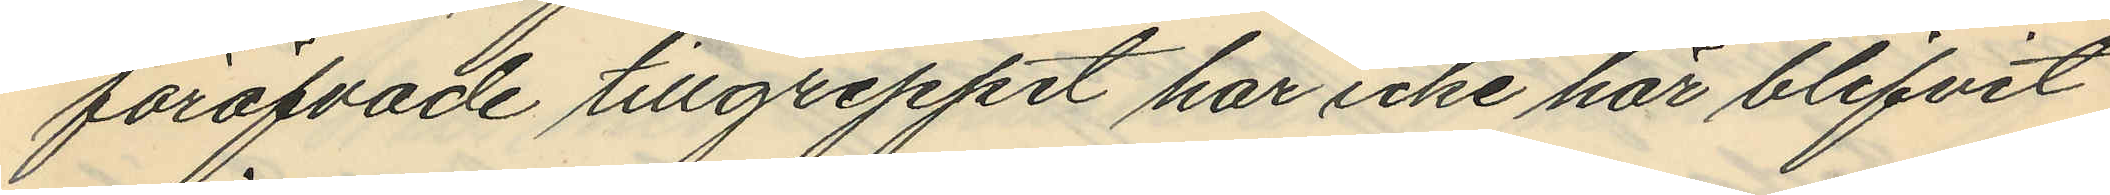föröfvade tillgreppet har icke här blifvit
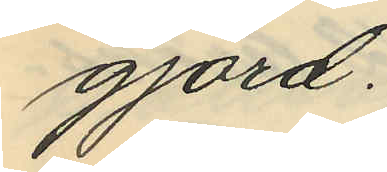gjord.
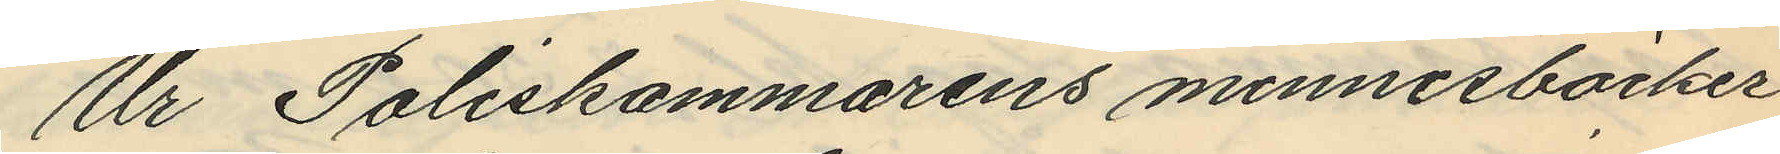Ur Poliskammarens minnesböcker
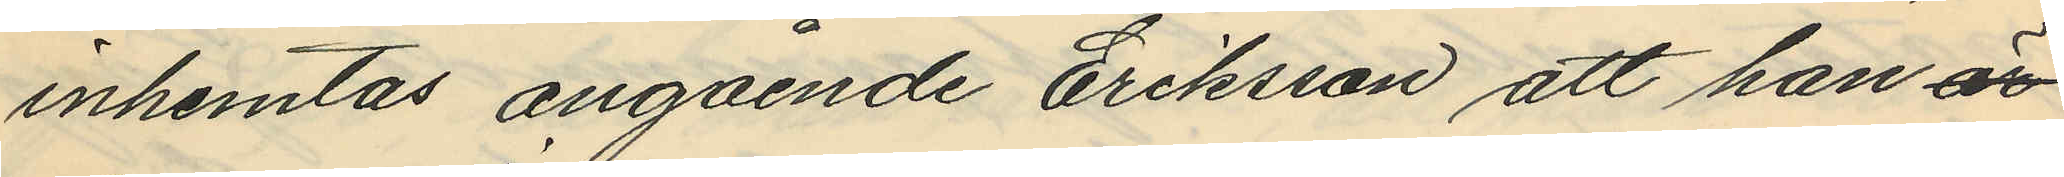inhemtas angående Eriksson att han är
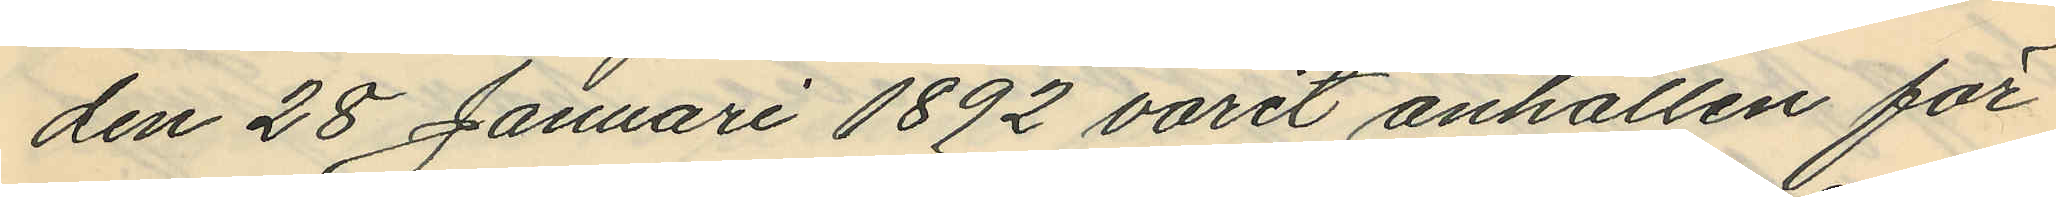den 28 Januari 1892 varit anhållen för
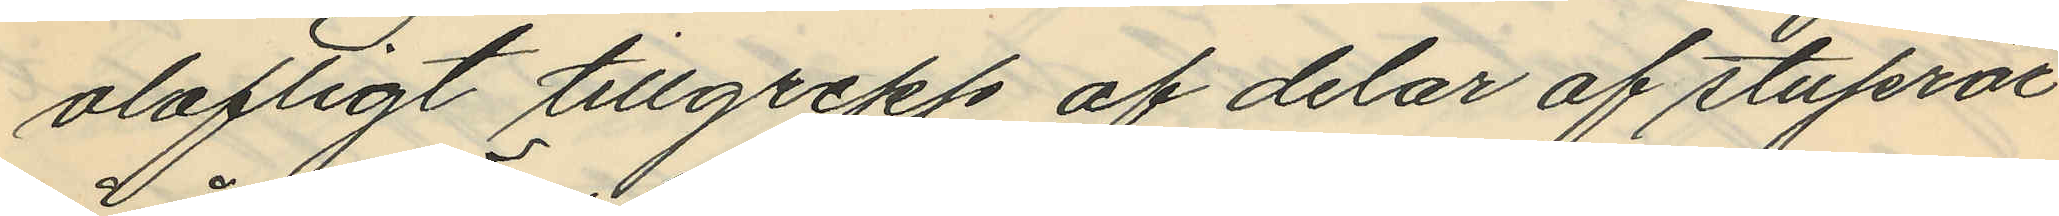olofligt tillgrepp af delar af stuprör
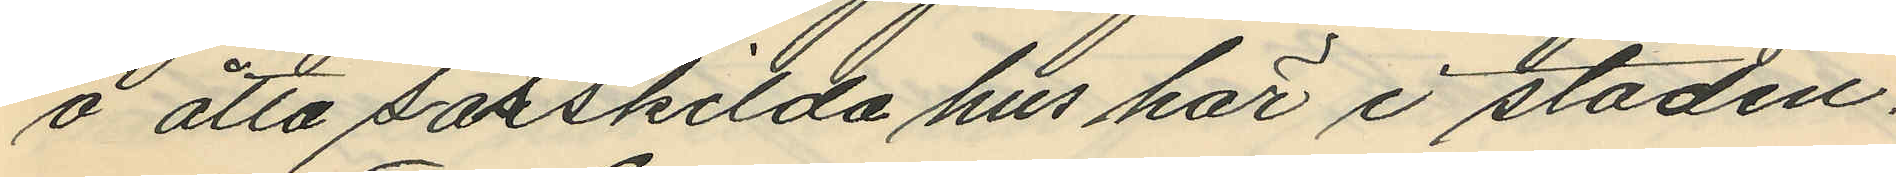å åtta särskilda hus här i staden.
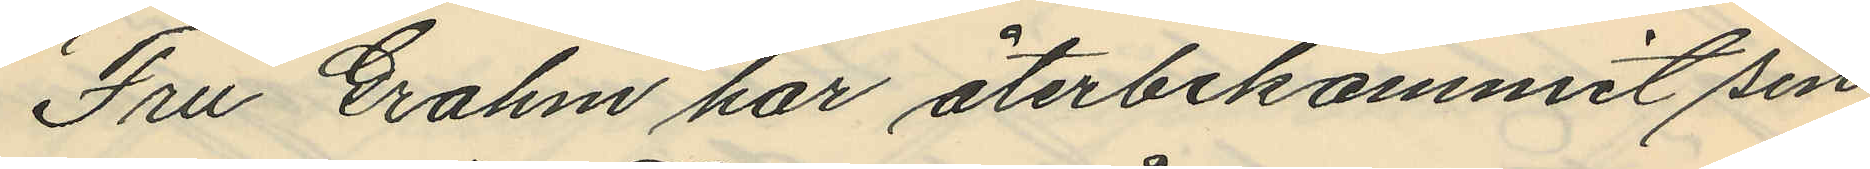Fru Grahm har återbekommit sin
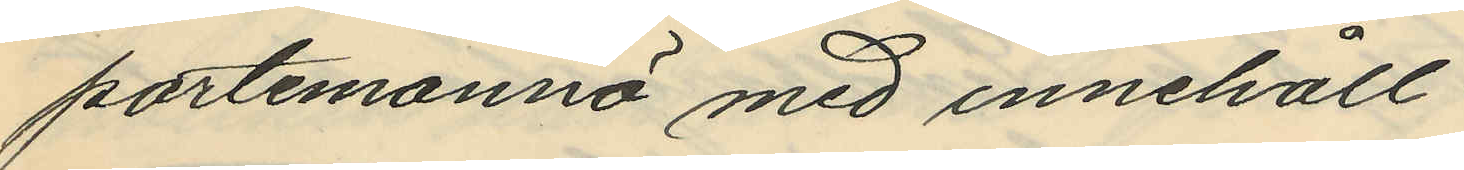portemonnä med innehåll.
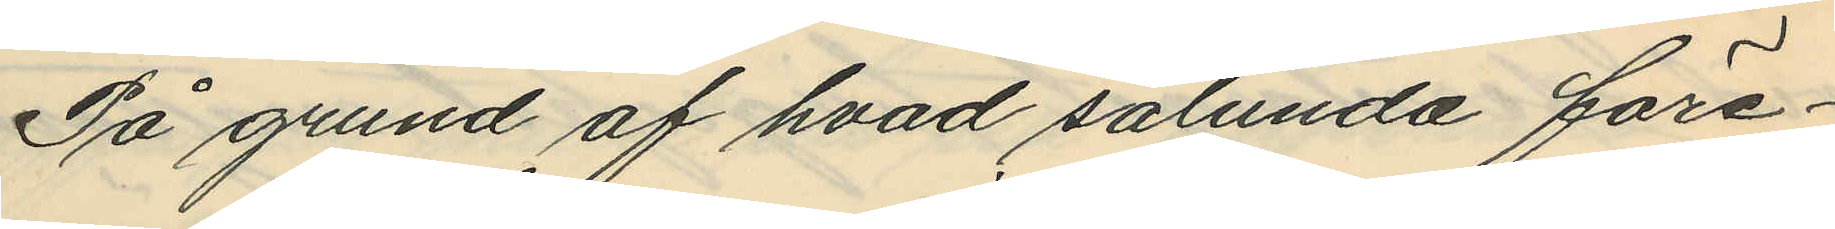På grund af hvad sålunda före¬
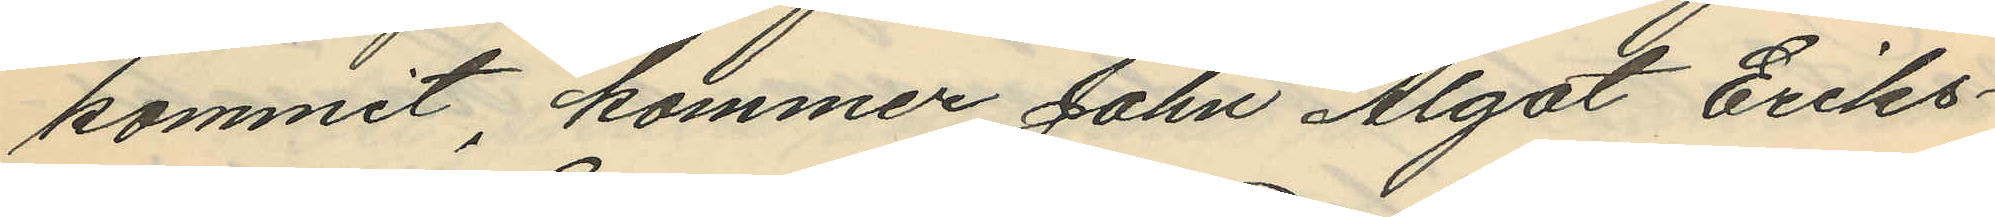kommit, kommer John Algot Eriks¬
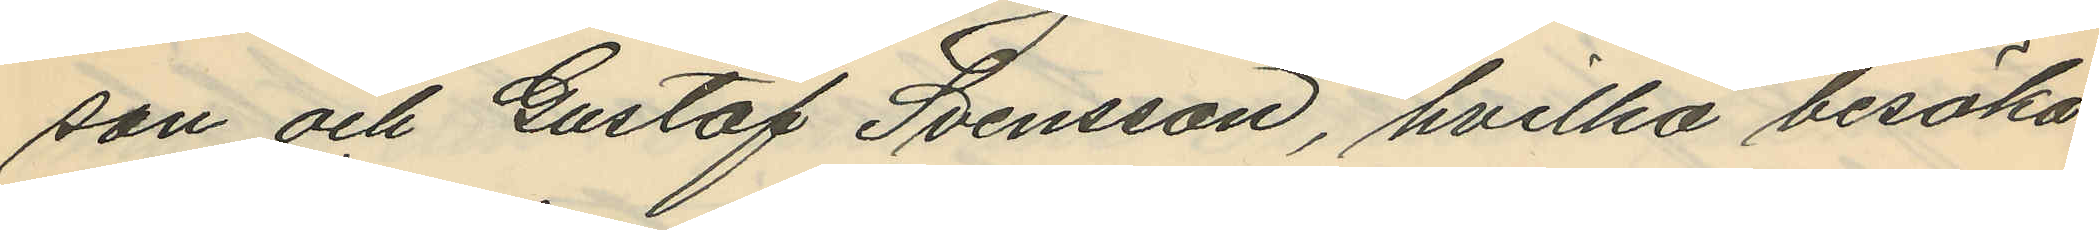son och Gustaf Svensson, hvilka besöka
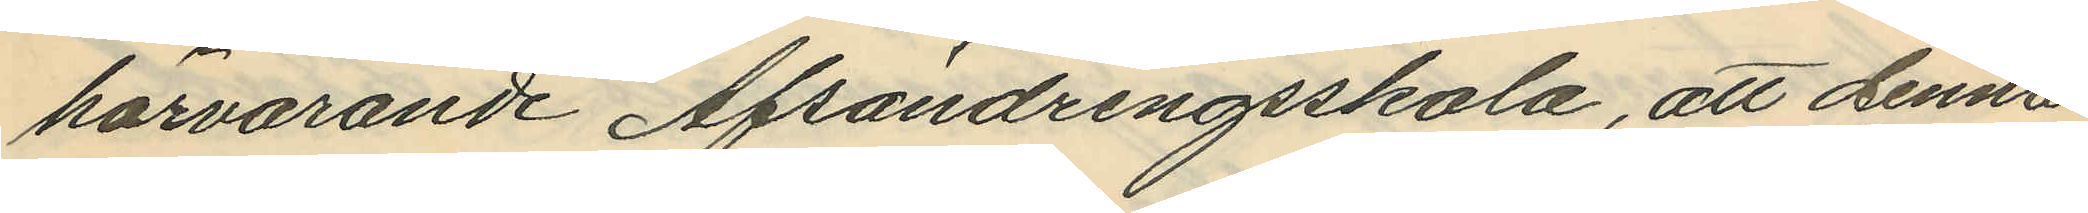härvarande Afsöndringsskola, att denna
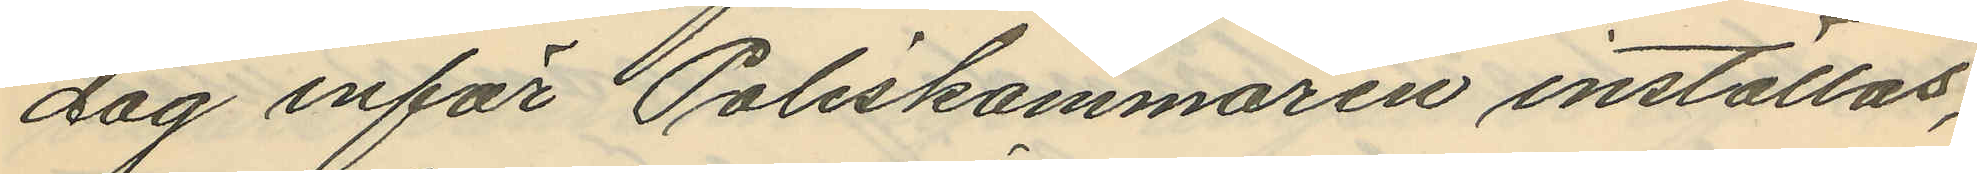dag inför Poliskammaren inställas,
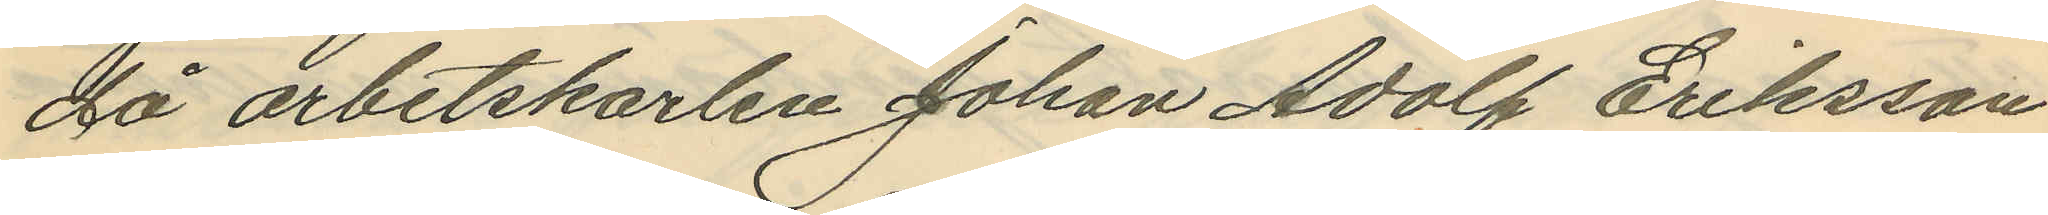då arbetskarlen Johan Adolf Eriksson
